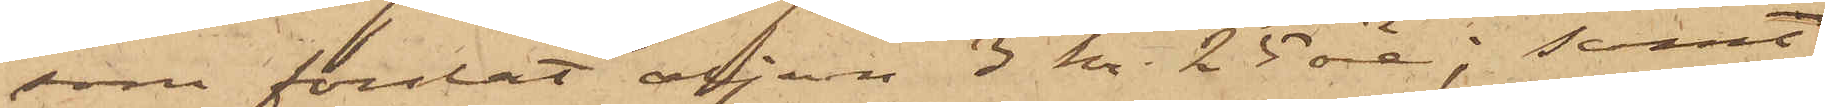som forslat oljan 3 kr. 25 öre; samt
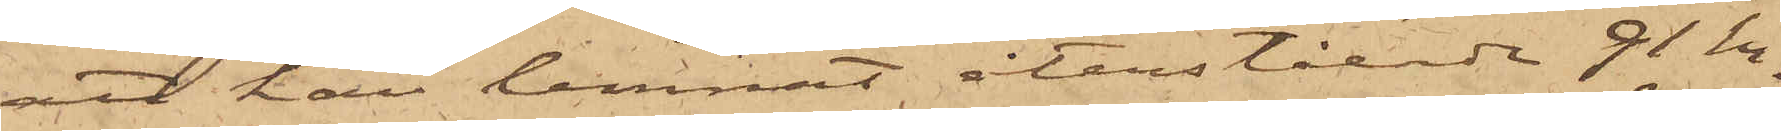att han lemnat återstående 91 kr.
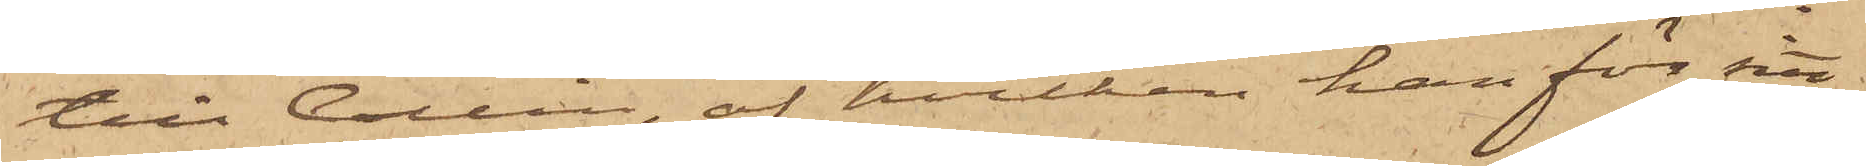till Collin, af hvilken han för sitt
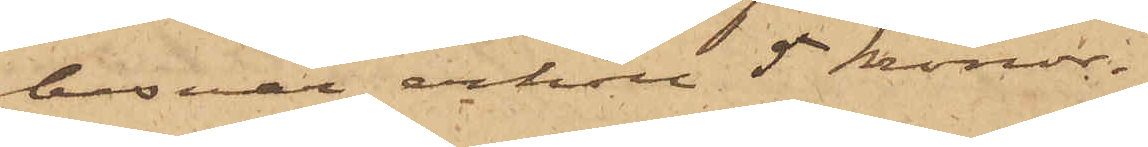besvär erhöll 5 kronor.
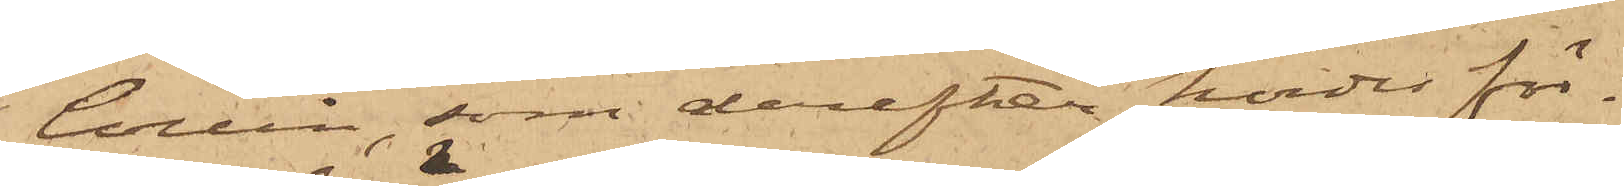Collin, som derefter hördes för¬
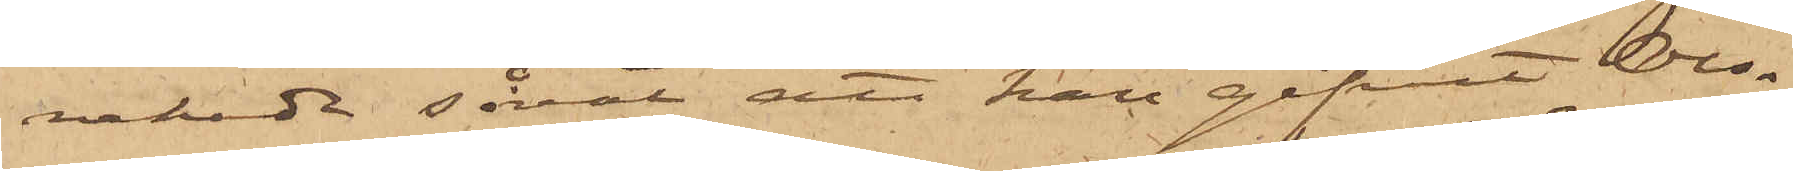nekade såväl att han gifvit Ols¬
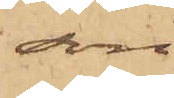son
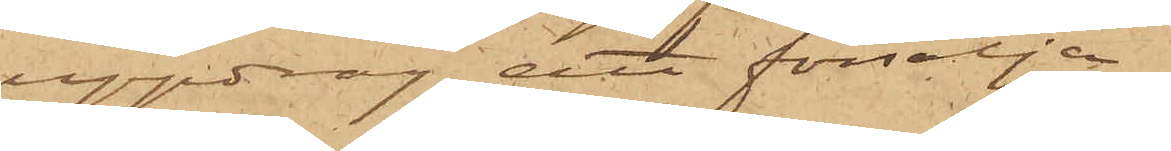uppdrag att försälja
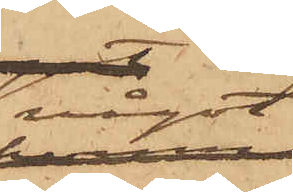något
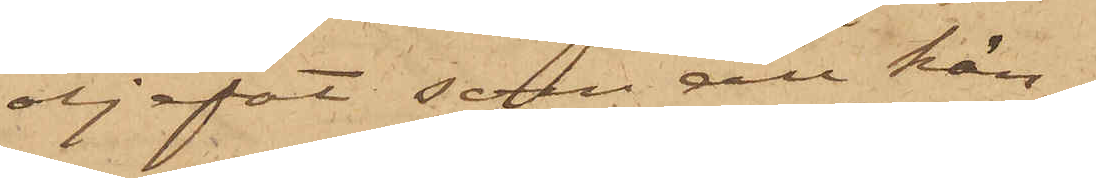oljefat som all kän¬
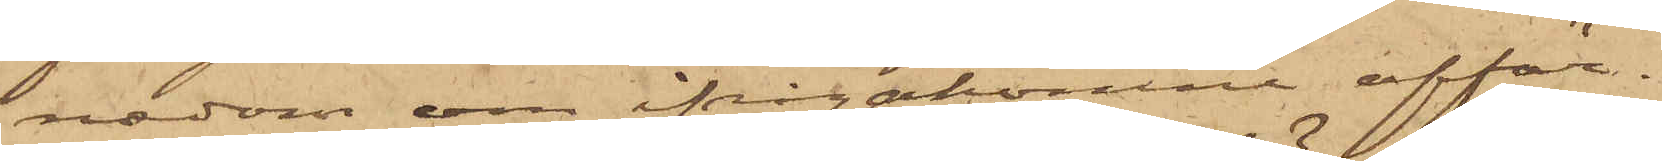nedom om ifrågakomne affär.
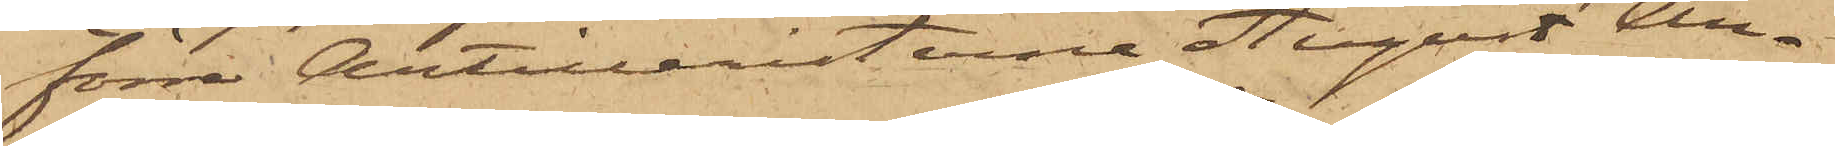Förra Artilleristerna August An¬
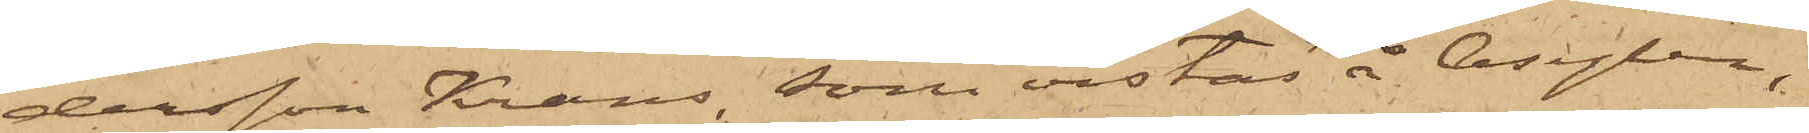dersson Krans, som vistas å Asylen,
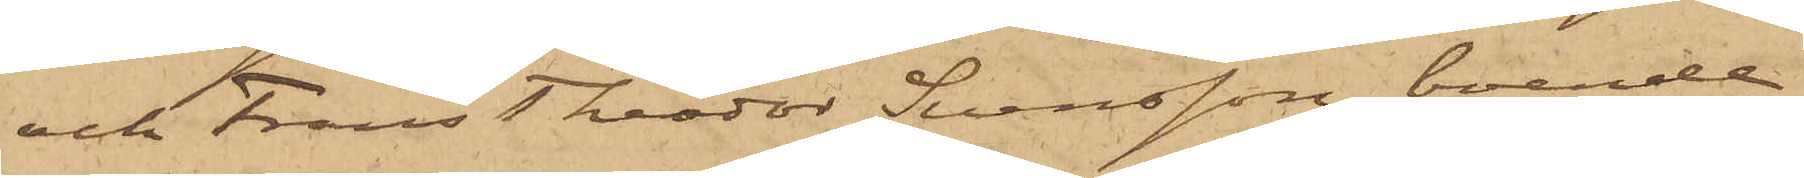och Frans Theodor Svensson, boende
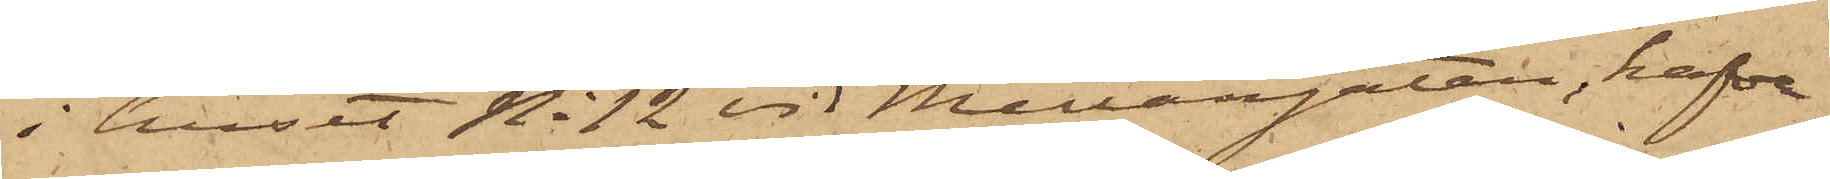i huset No 12 vid Mellangatan, hafva
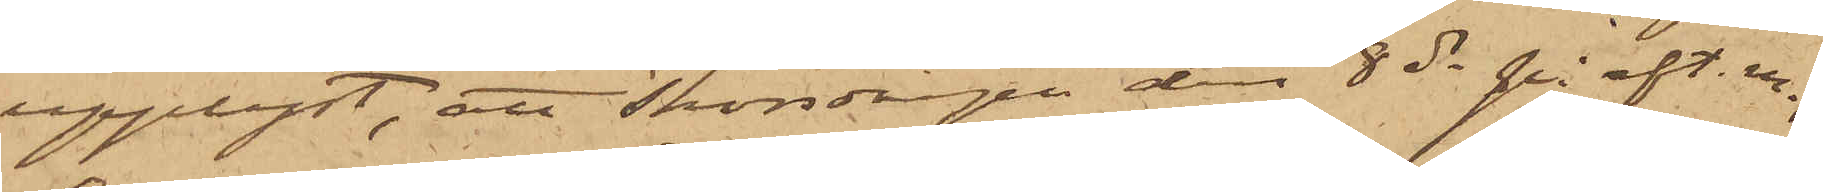upplyst, att Thorsdagen den 8 ds på eft. m.,
